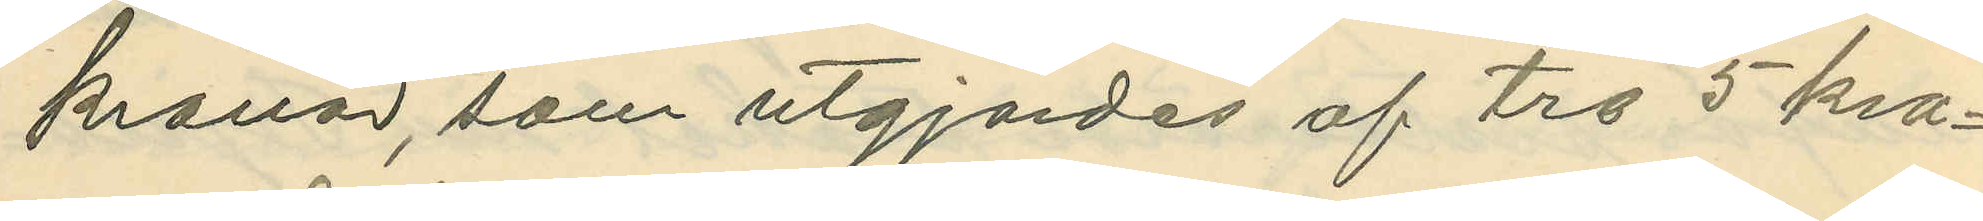kronor, som utgjordes af tre 5 kro¬
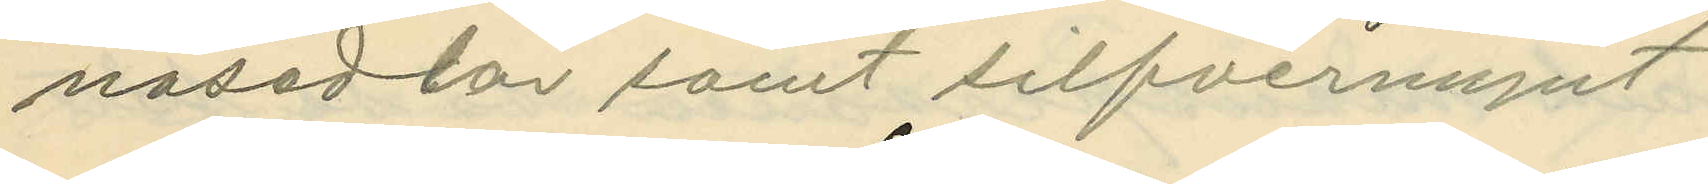nosedlar samt silfvermynt
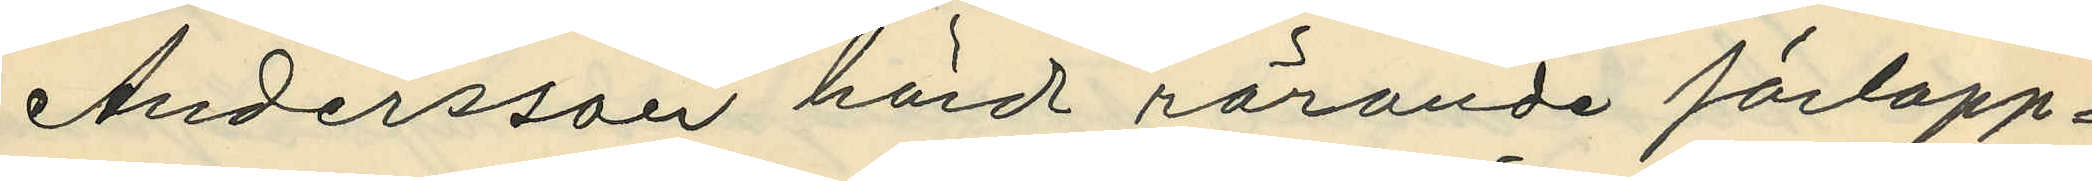Andersson hörd rörande förlopp¬
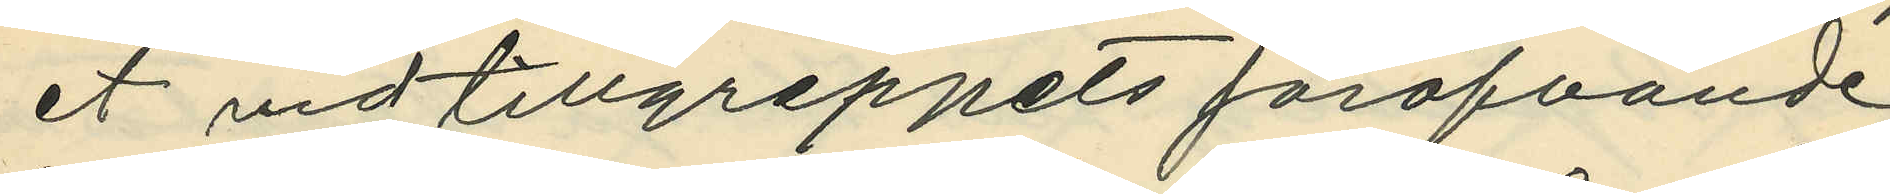et vid tillgreppets föröfvande
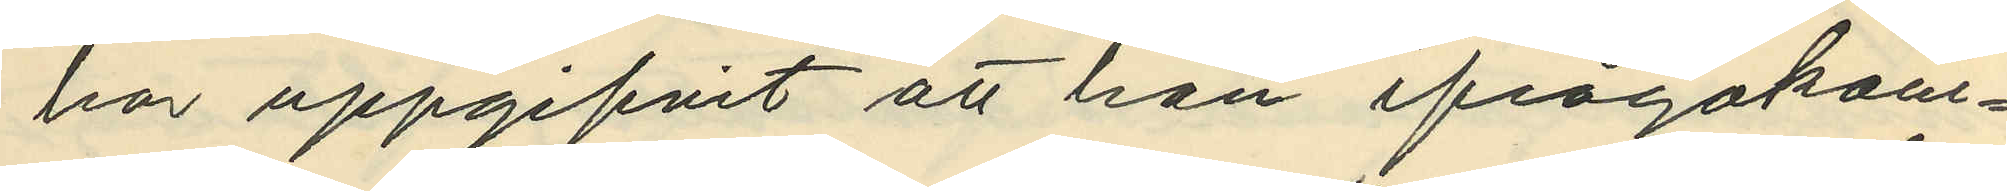har uppgifvit att han ifrågakom¬
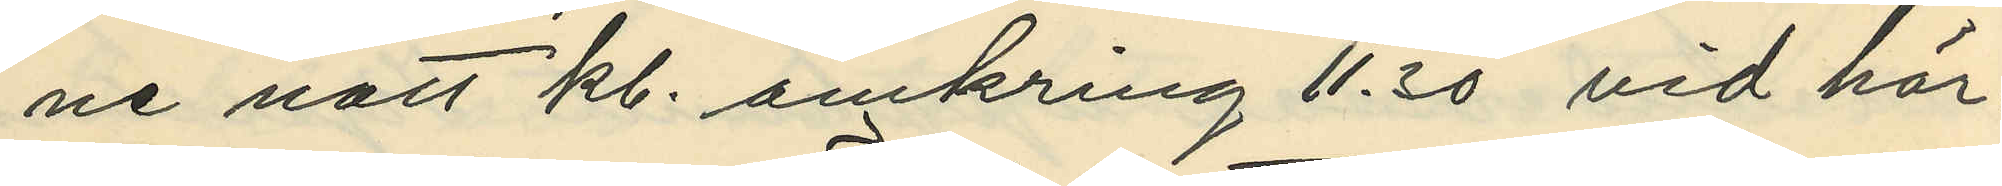ne natt kl. omkring 11.30 vid hör¬
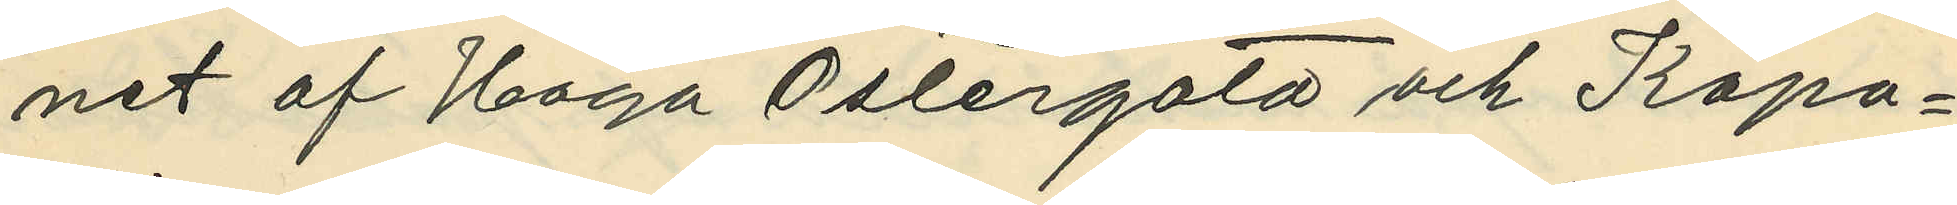net af Haga Östergata och Kapo¬
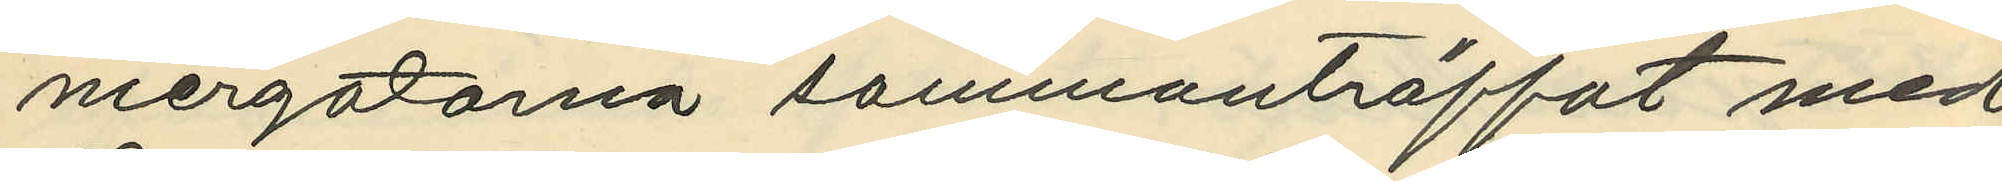niergatorna sammanträffat med
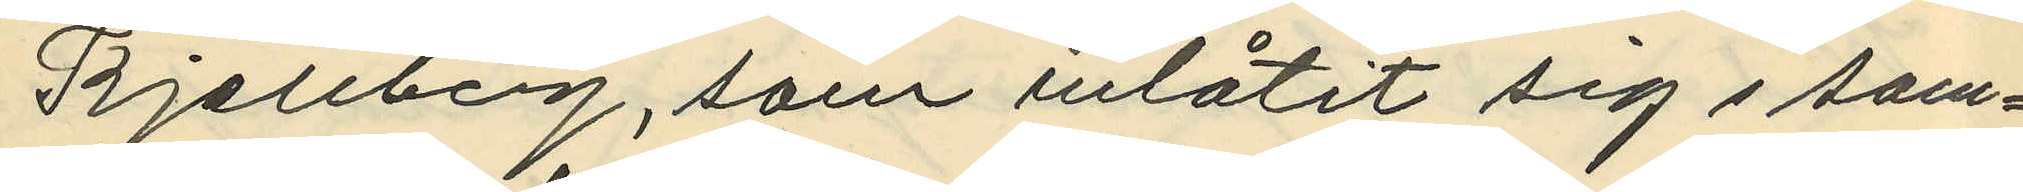Kjellberg, som inlåtit sig i sam¬
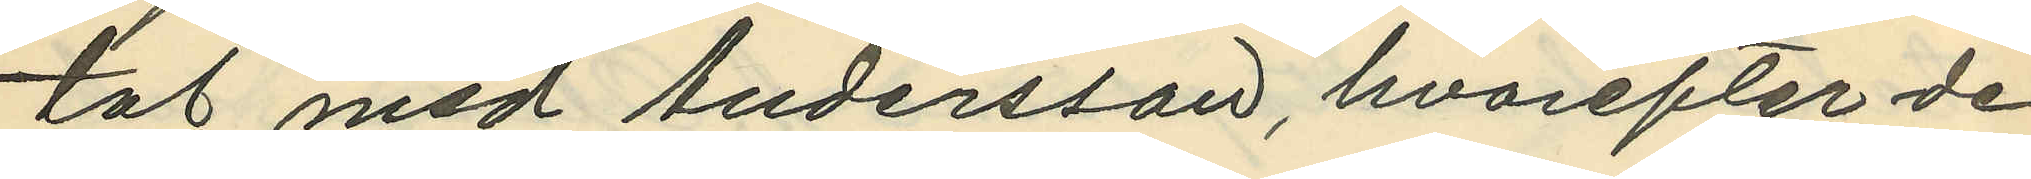tal med Andersson, hvarefter de
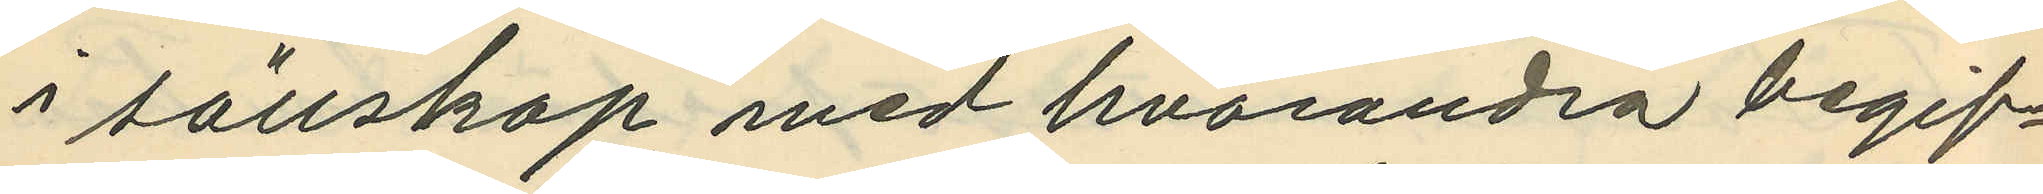i sällskap med hvarandra begif¬
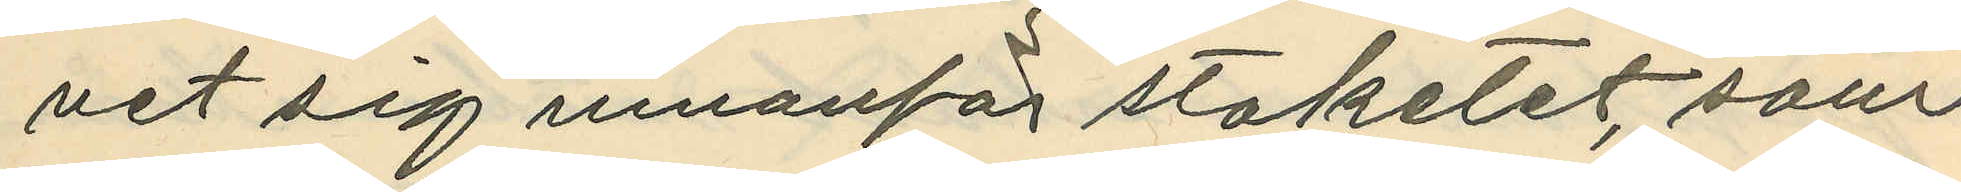vet sig innanför staketet, som
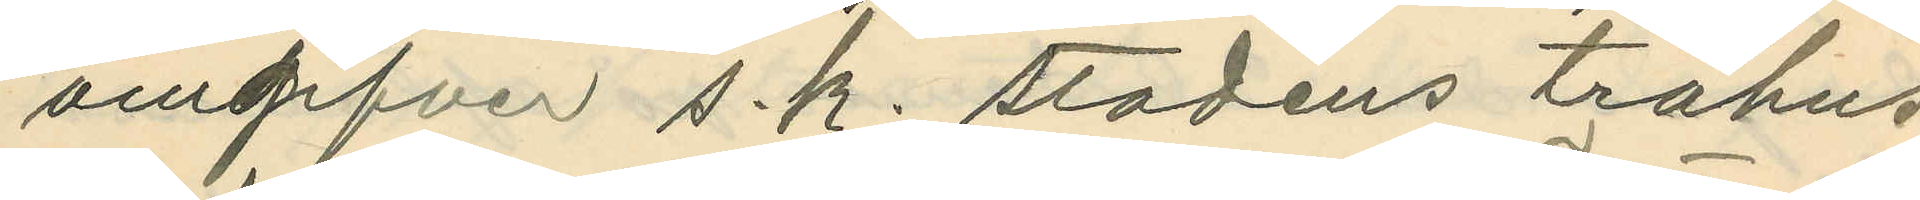omgifver s.k. stadens trähus
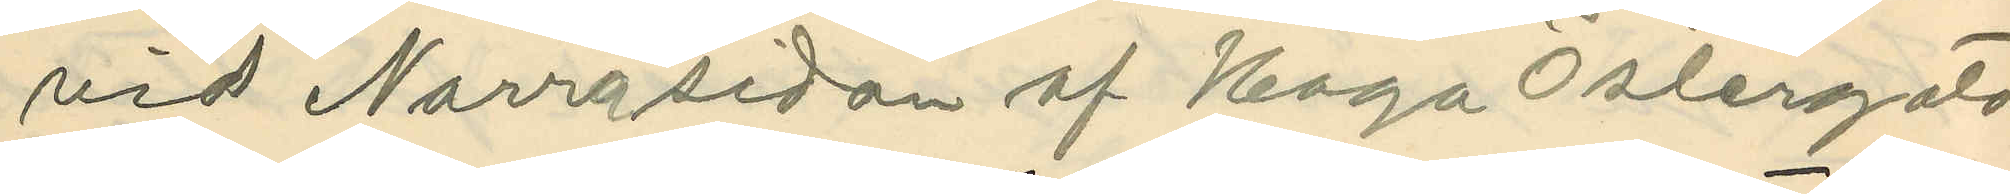vid Norra sidan af Haga Östergata
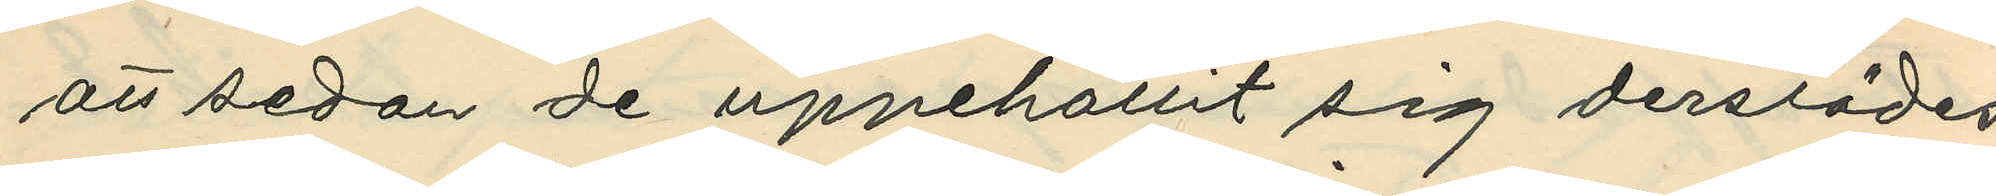att sedan de uppehållit sig derstädes
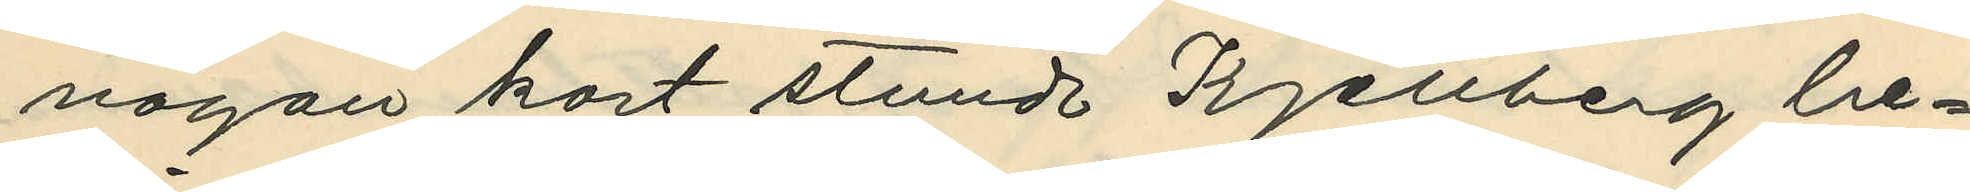någon kort stund Kjellberg be¬
